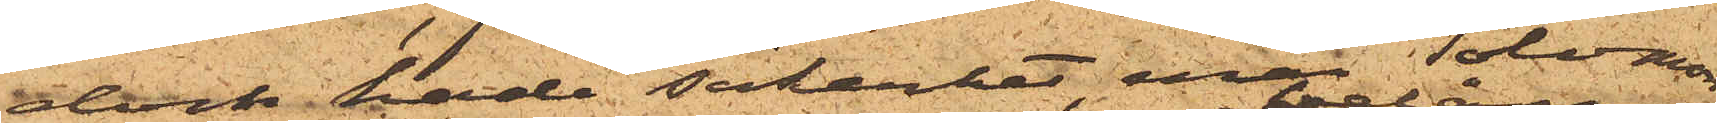dock hade säkerhet, enär Solomon
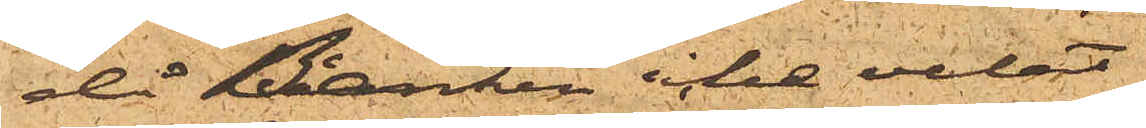då Banken icke velat
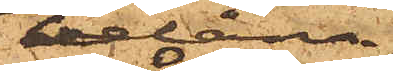belåna
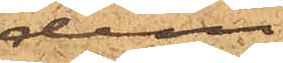dem,
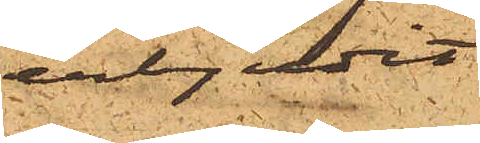erbjudit
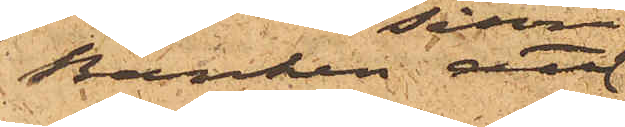Banken  att
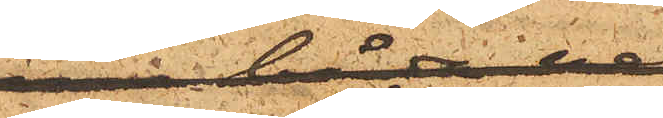såsom säkerhet 
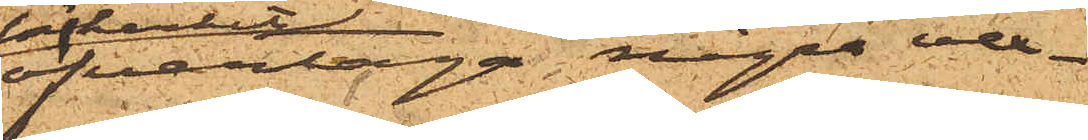öfvertaga några vex¬
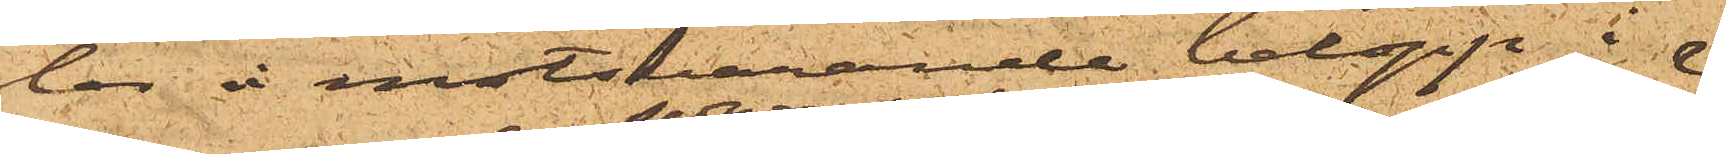lar å motsvarande belopp i
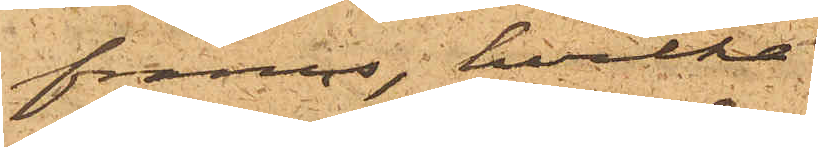francs, hvilka
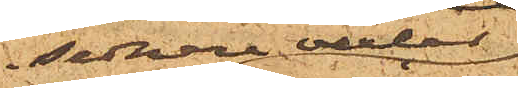sednare vexlar
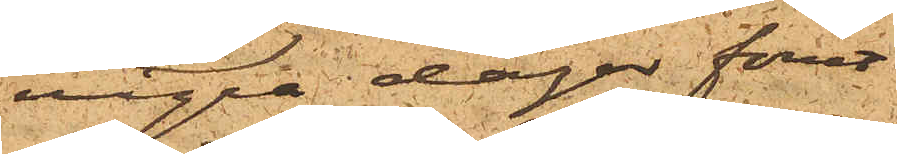några dagar förut
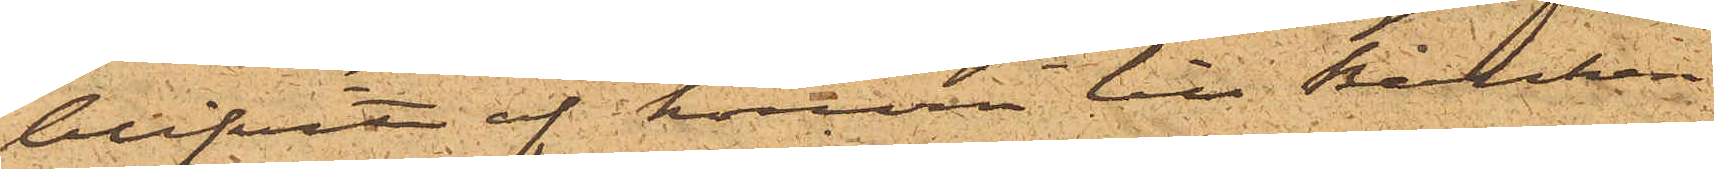blifvit af honom till Banken
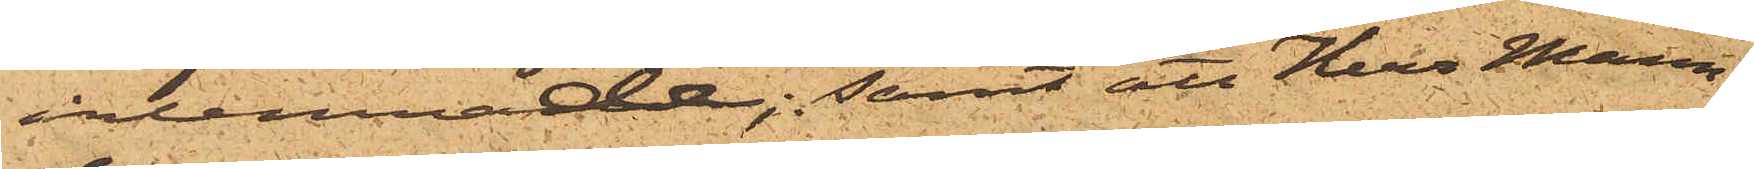inlemnade; samt att Herr Mann¬
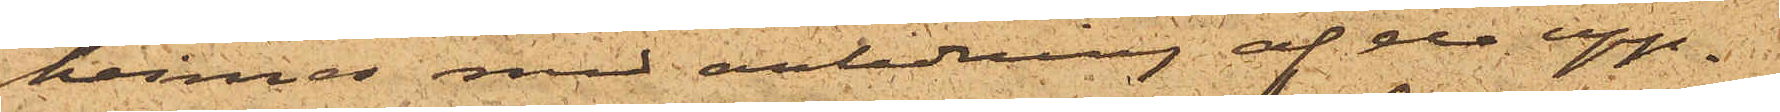heimer med anledning af de upp¬
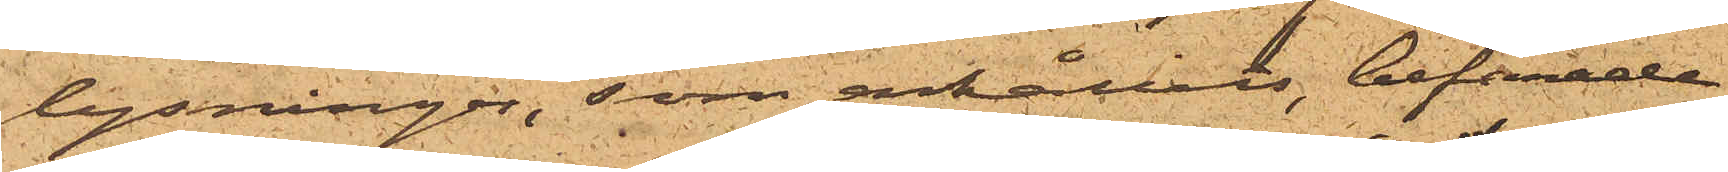lysningar, som erhållits, befarade
